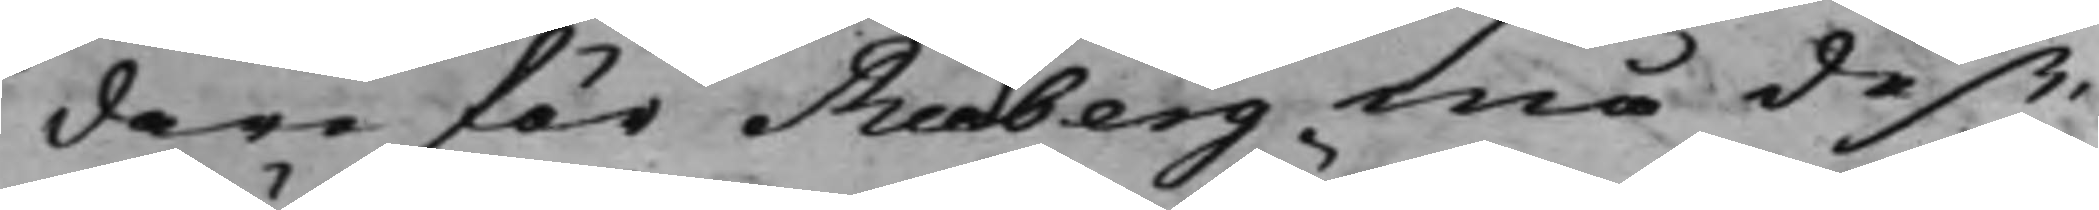dare för Rudberg må deß¬
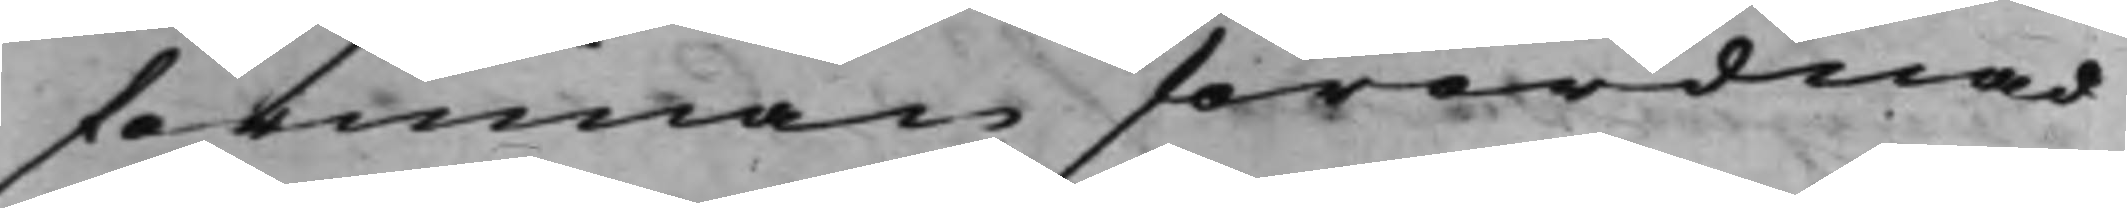förinnan förordnad
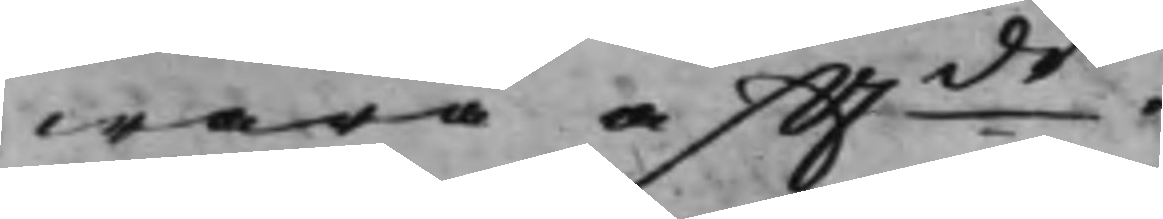wara aft.de
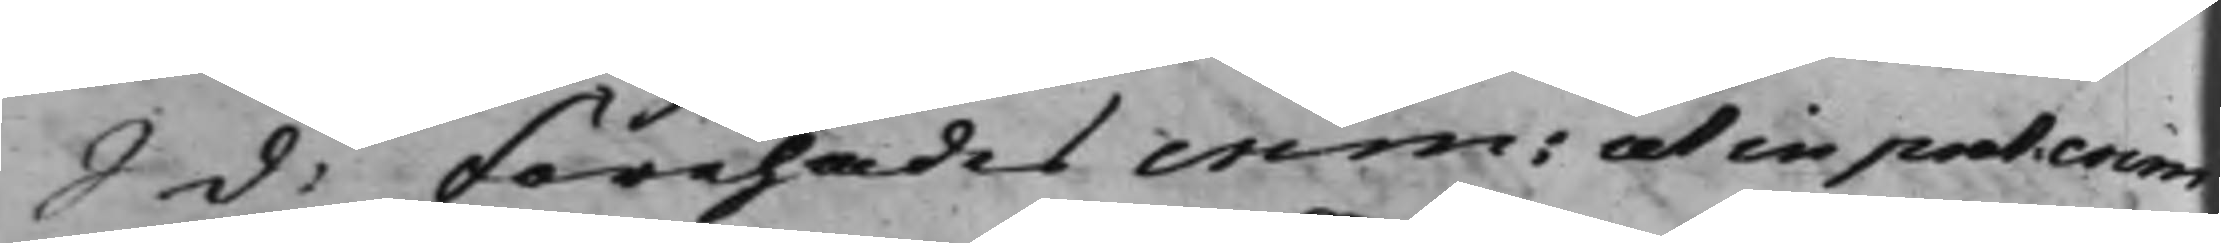S d: Förehades crim: ut in prot. crim.
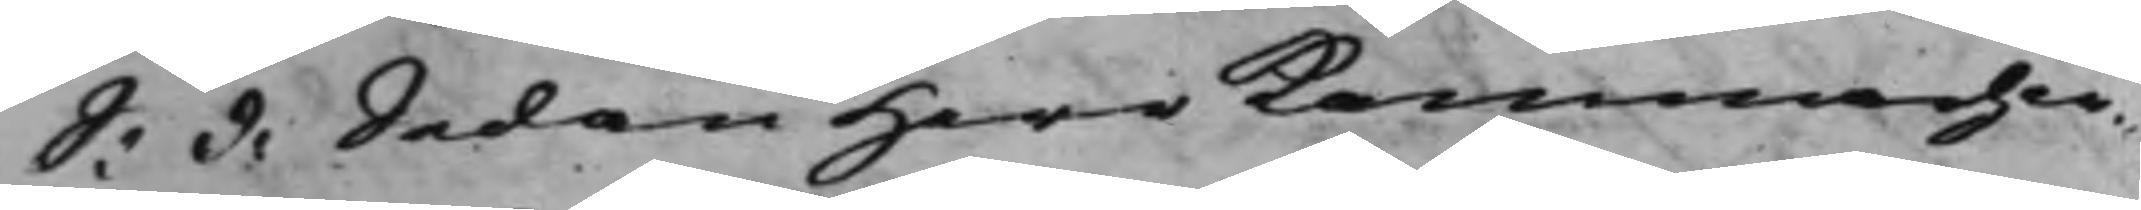S: d: Sedan Herr Kammarher¬
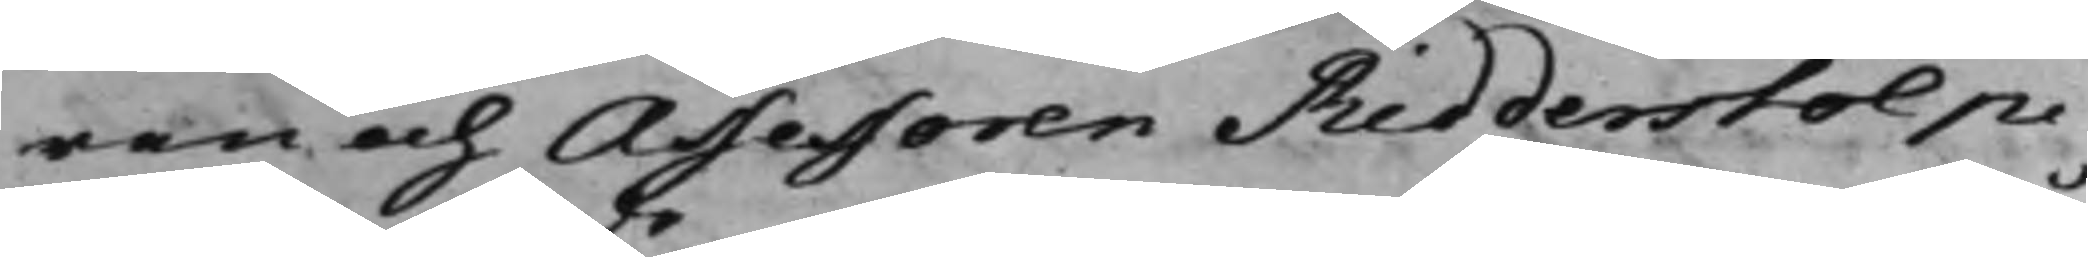ren och Assessoren Ridderstolpe
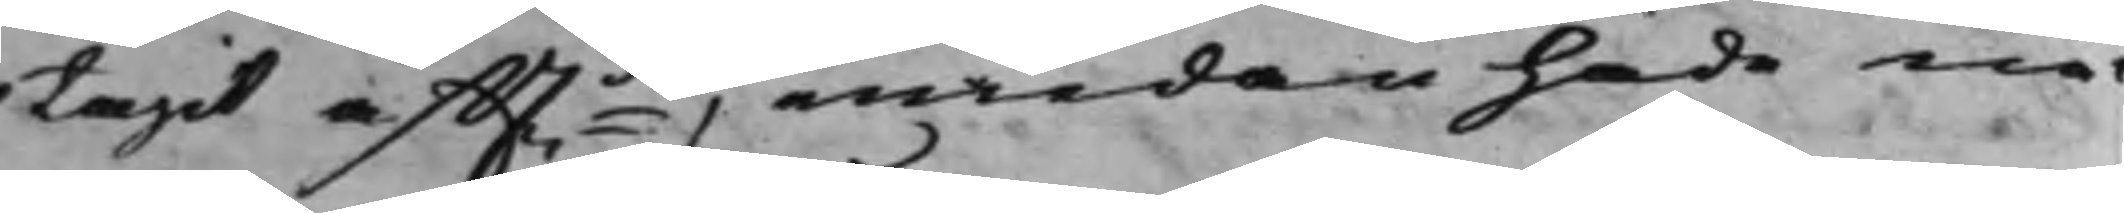tagit aft.de emedan hade nå¬
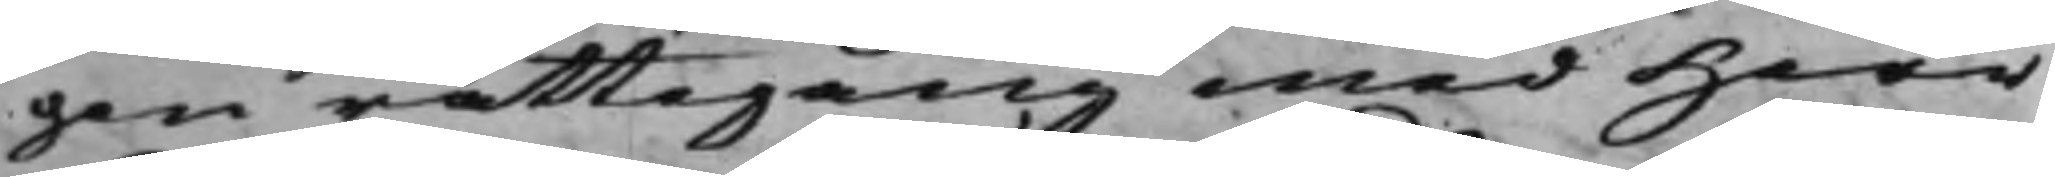gon rättegång med Herr
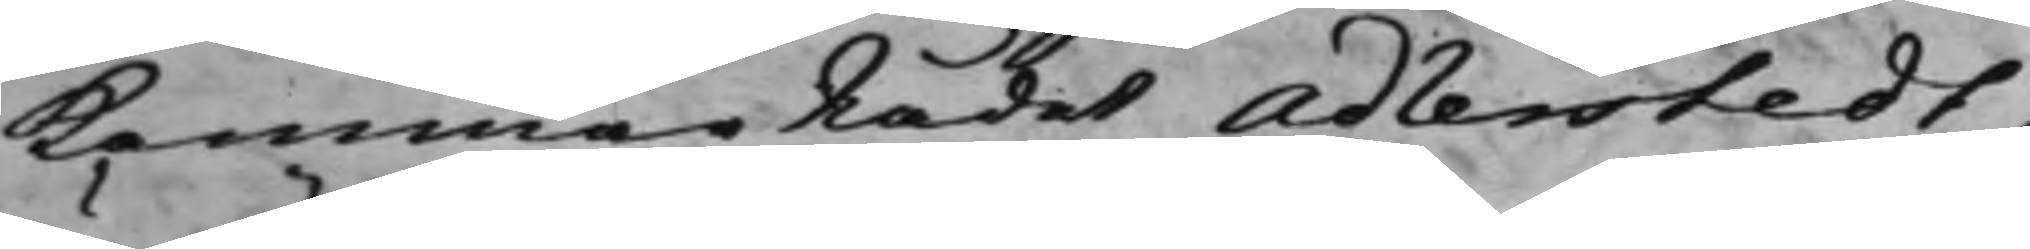KammarRådet Adlerstedt,
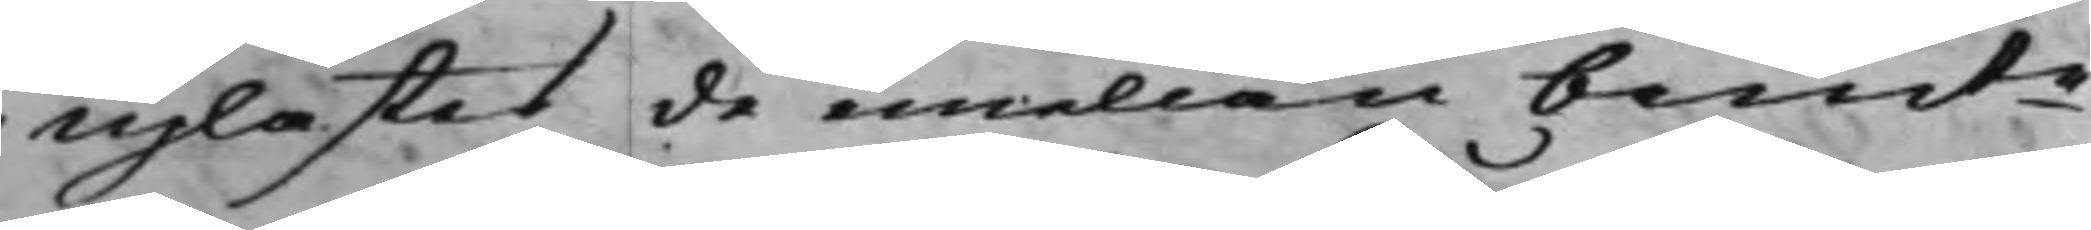uplästes de emellan bemte
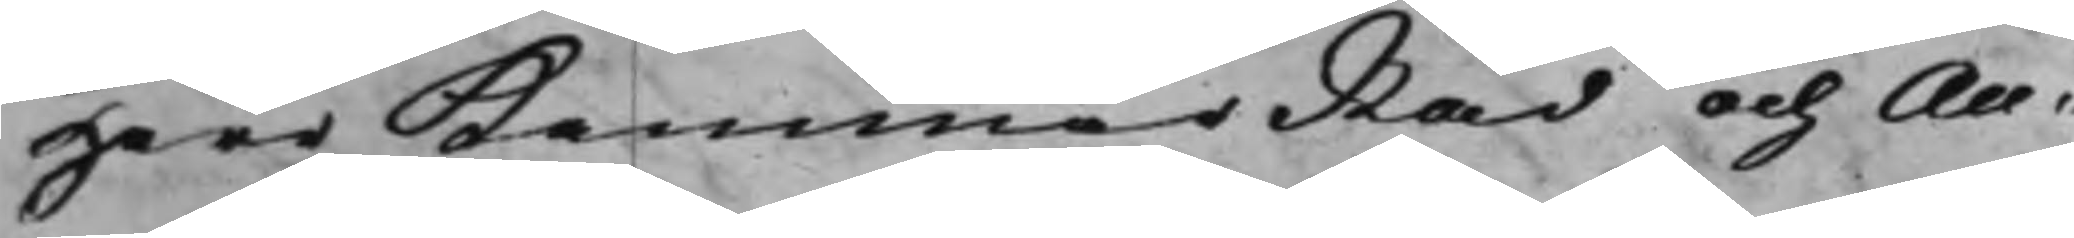Herr KammarRåd och Au¬
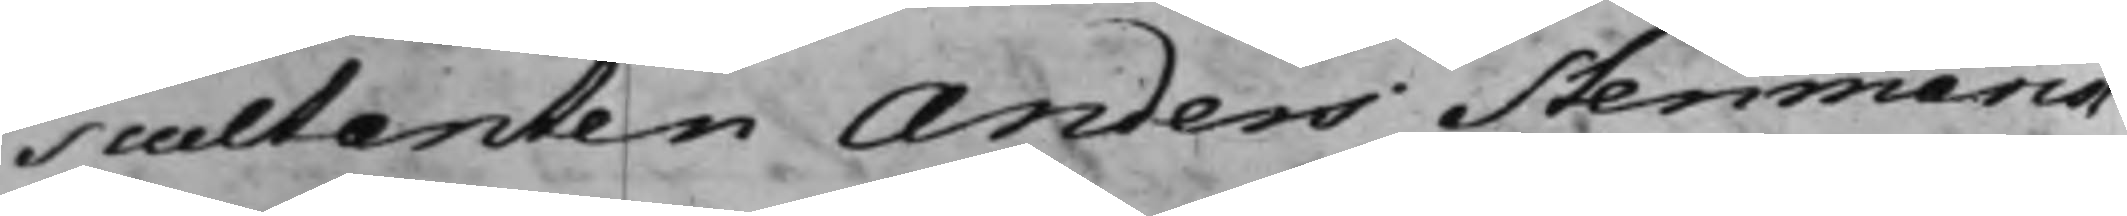scultanten Anders Stenmarck
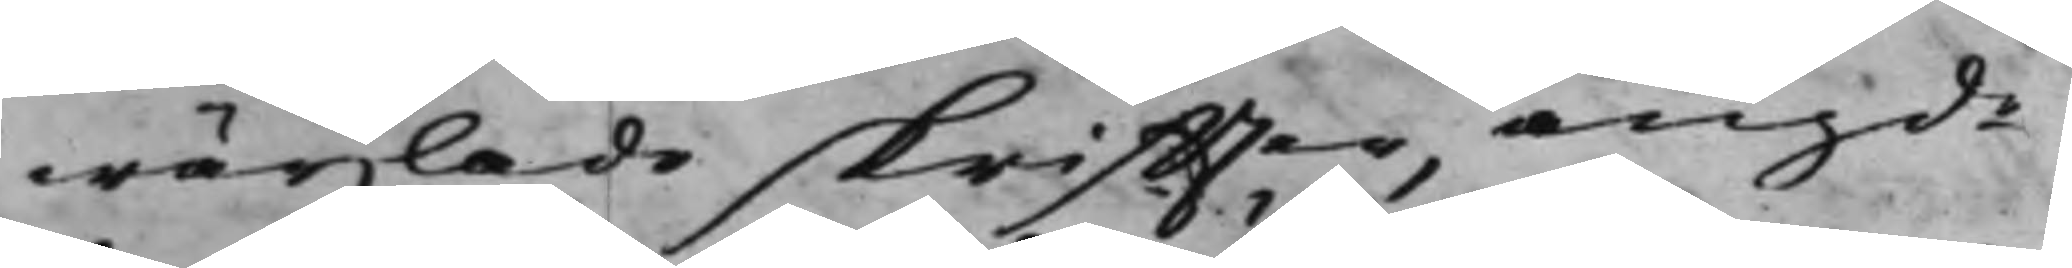wäxlade skriffter, angde
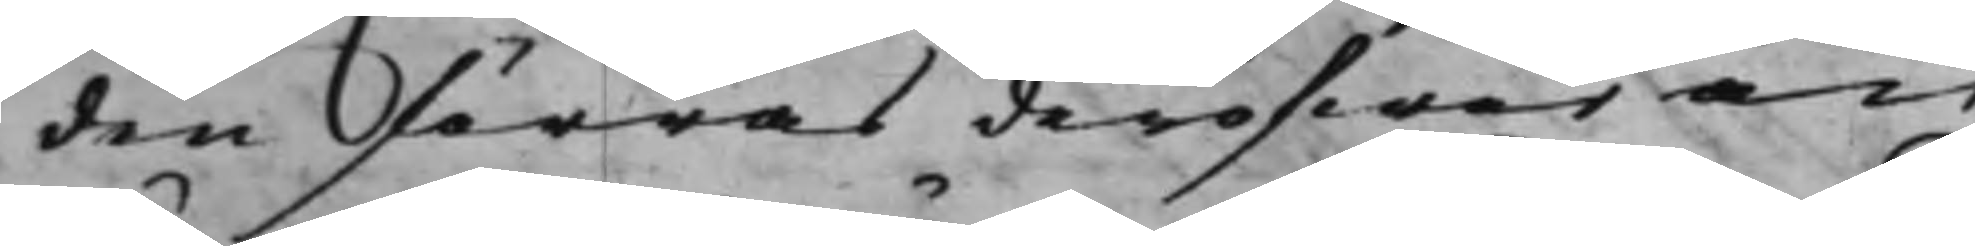den förras deröfwer an¬
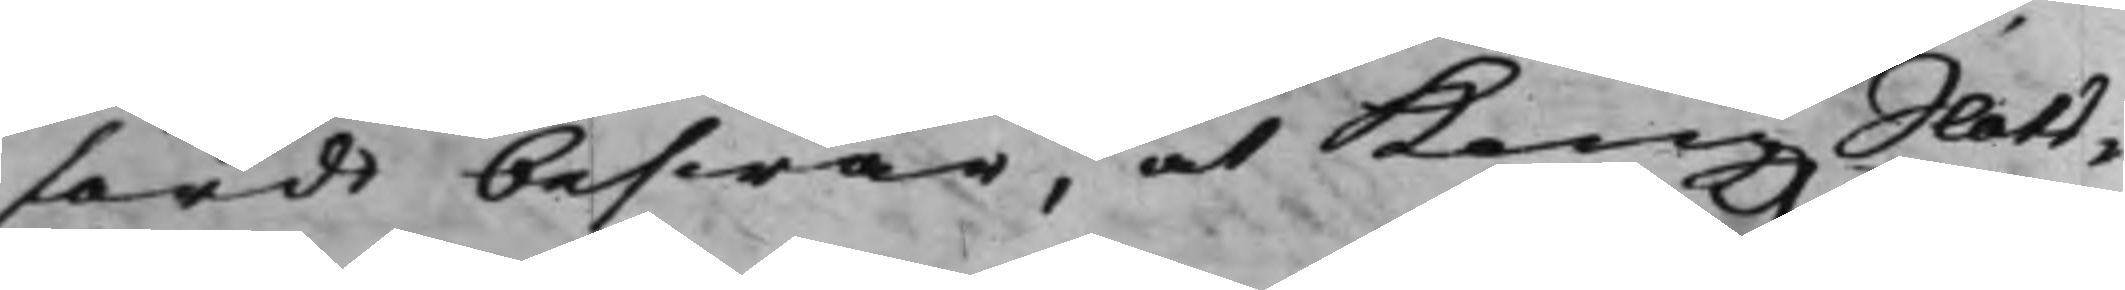fördt beswär, at Kong. Slots¬
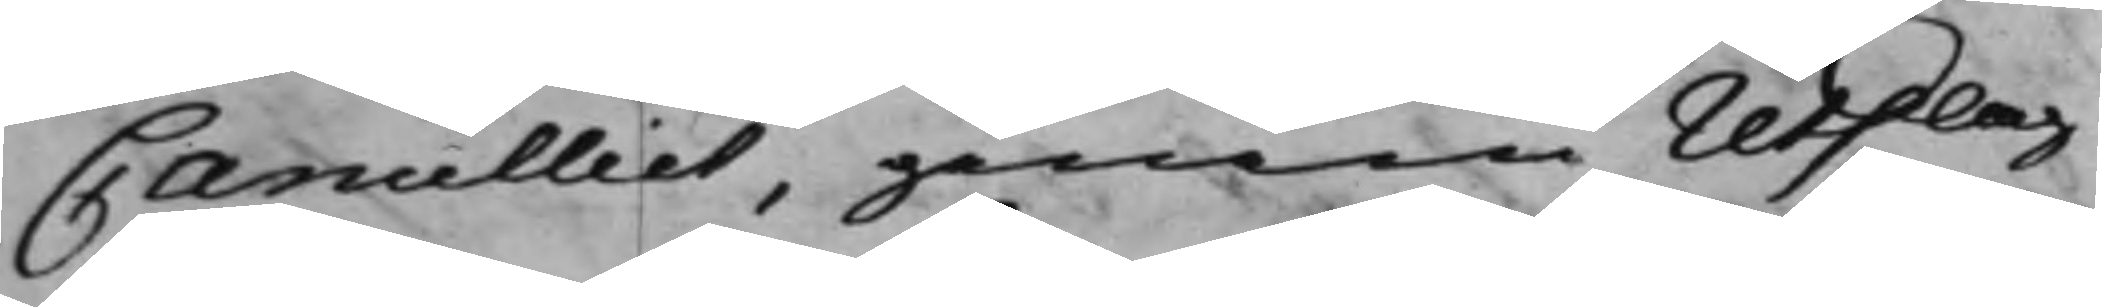Cancelliet, genom Utslag
